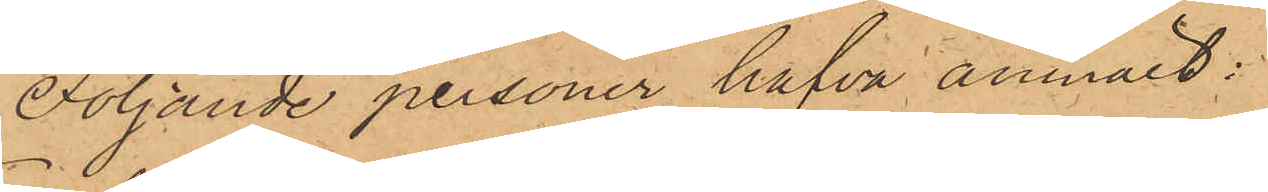Följande personer hafva anmält:
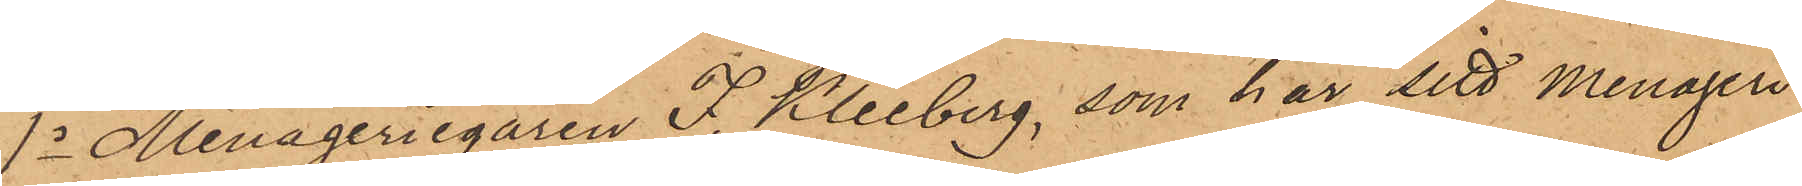1o Menageriegaren F. Kleeberg, som har sitt menageri
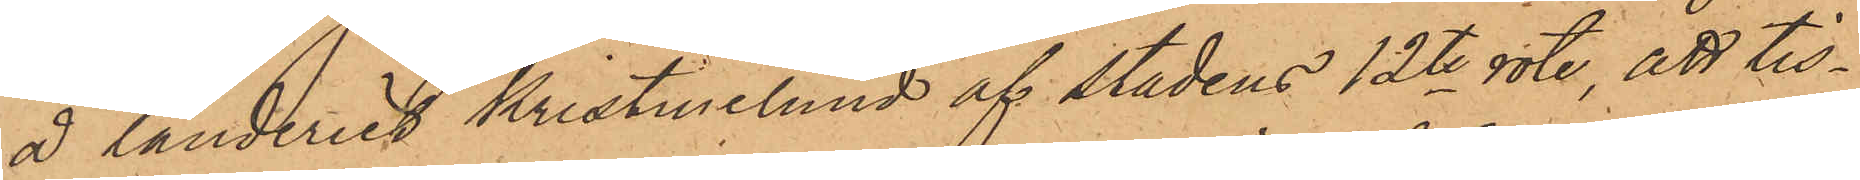å landeriet Kristinelund af stadens 12te rote, att tis¬
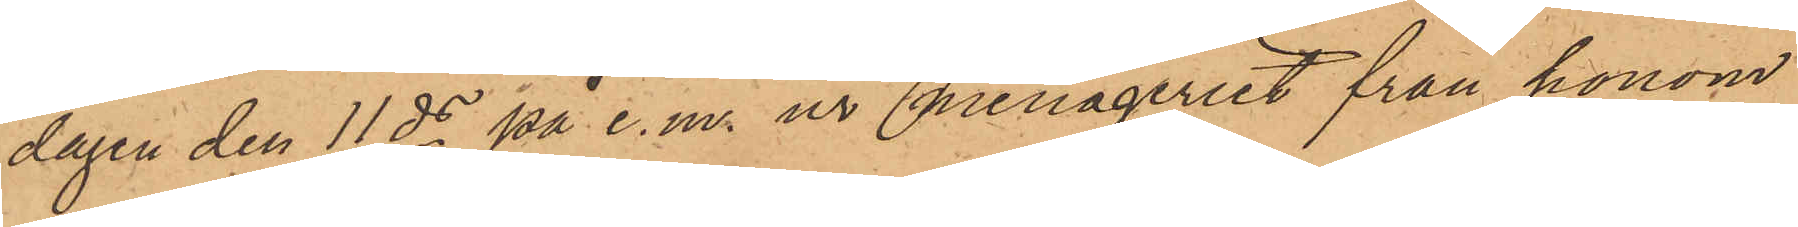dagen den 11 ds på e. m. ur menageriet från honom
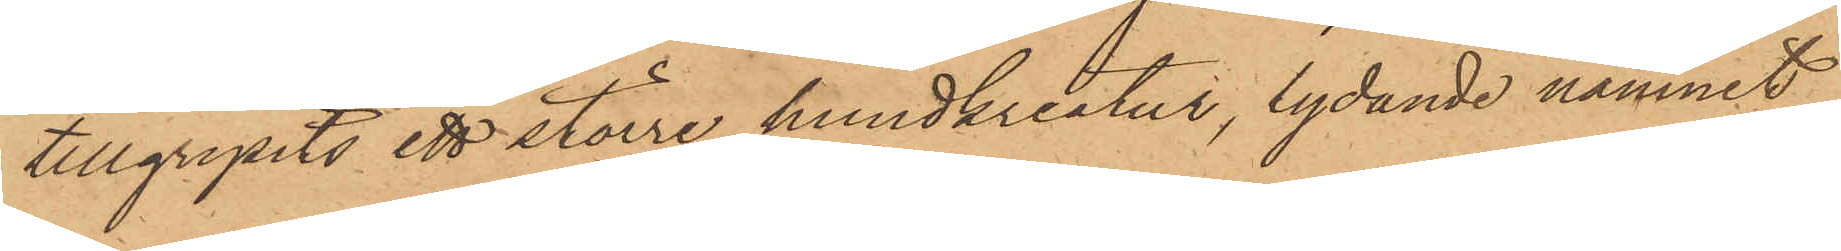tillgripits ett större hundkreatur, lydande namnet
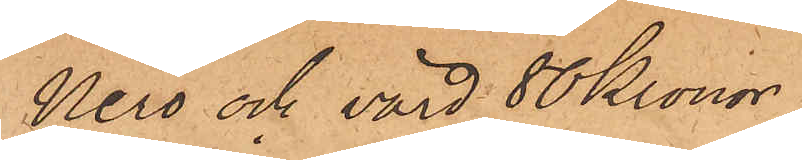Nero och värd 80 Kronor;
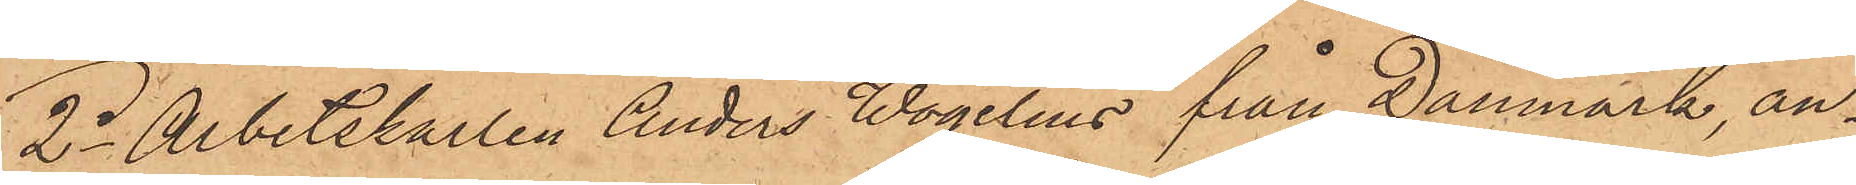2o Arbetskarlen Anders Wogelius från Danmark, an¬
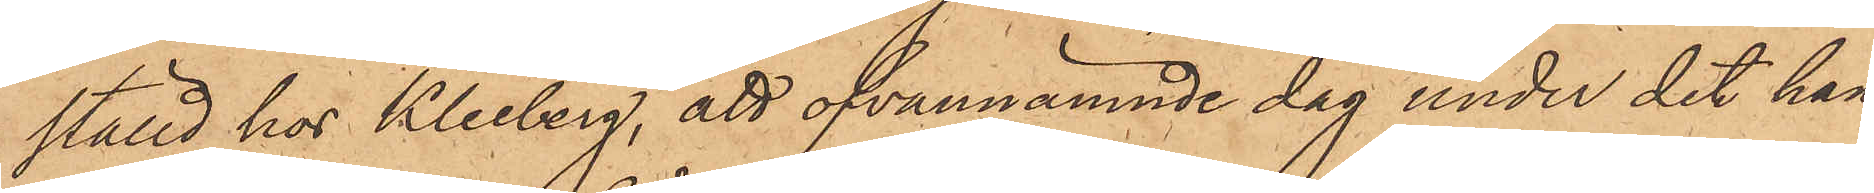ställd hos Kleeberg, att ofvannämnde dag under det han
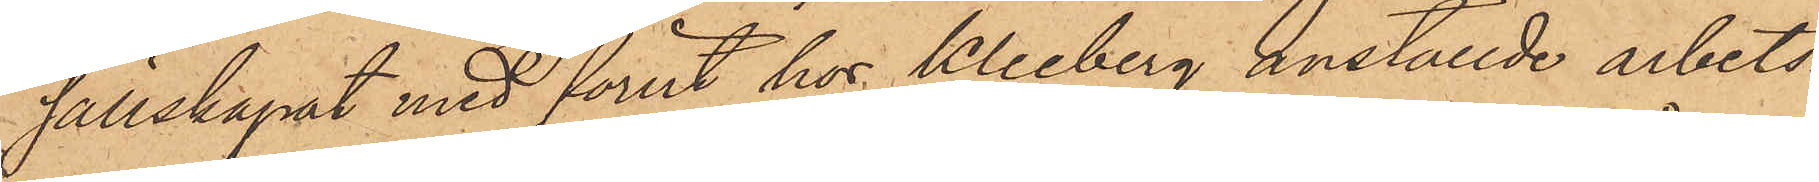sällskapat med förut hos Kleeberg anställde arbets¬
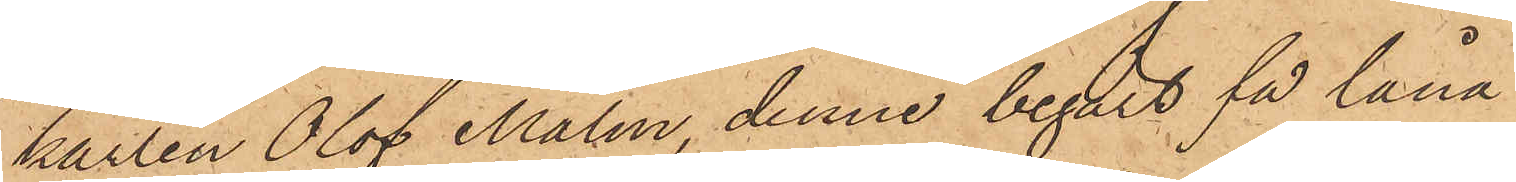karlen Olof Malm, denne begärt få låna
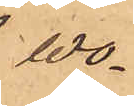Wo¬
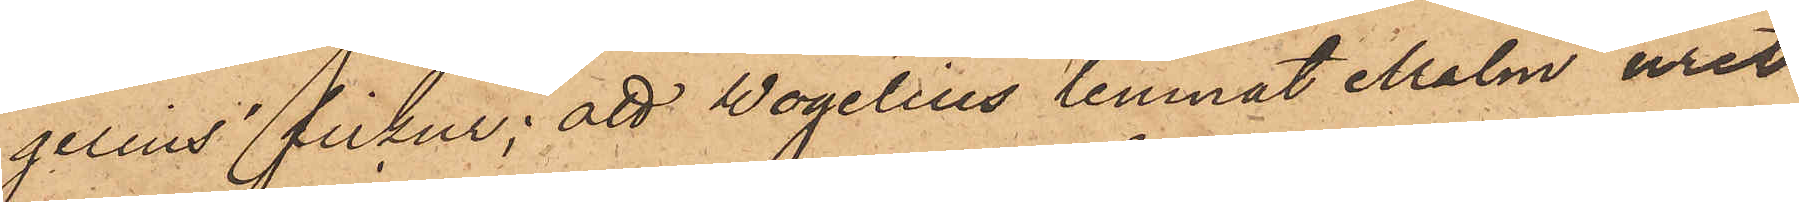gelius´ fickur; att Wogelius lemnat Malm uret
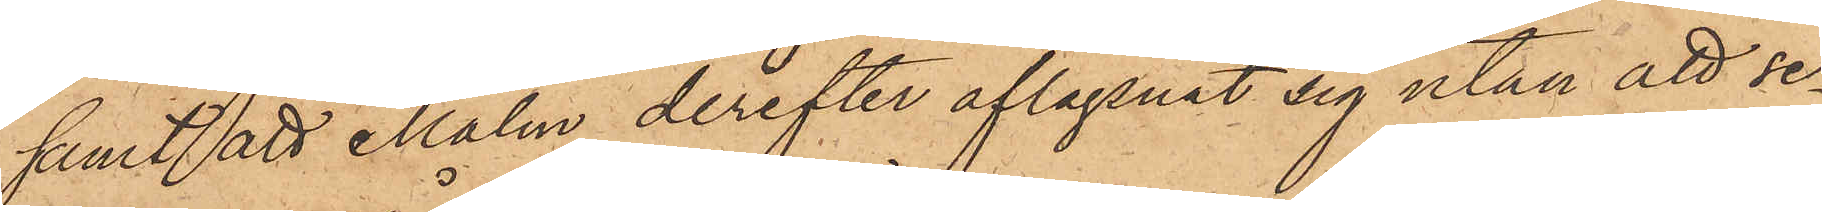samt att Malm derefter aflägsnat sig utan att se¬
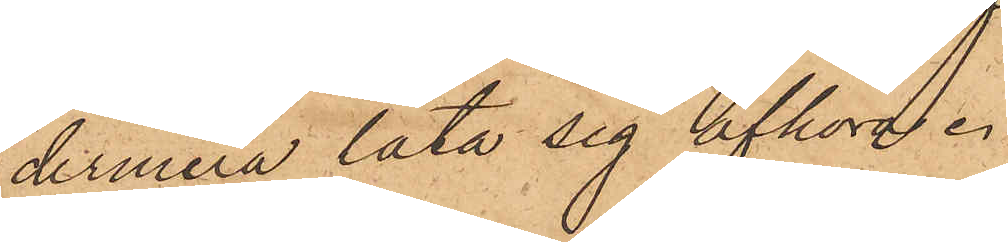dermera låta sig afhöra.
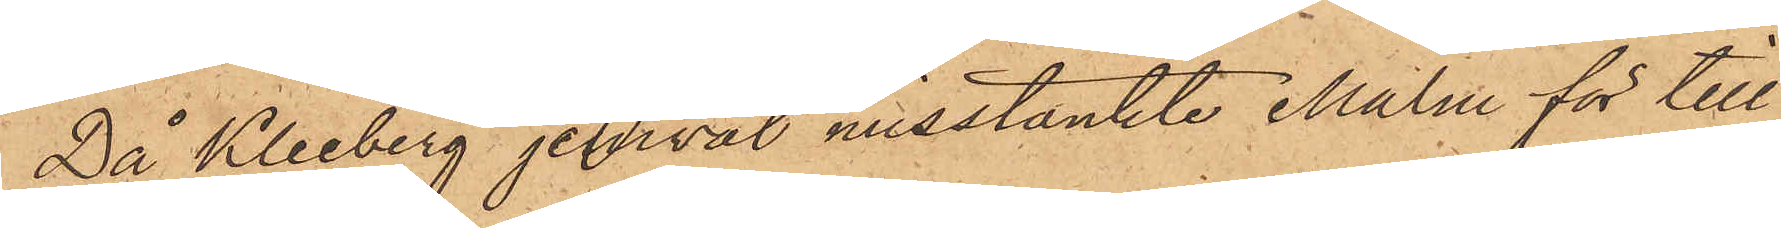Då Kleeberg jemväl misstänkte Malm för till¬
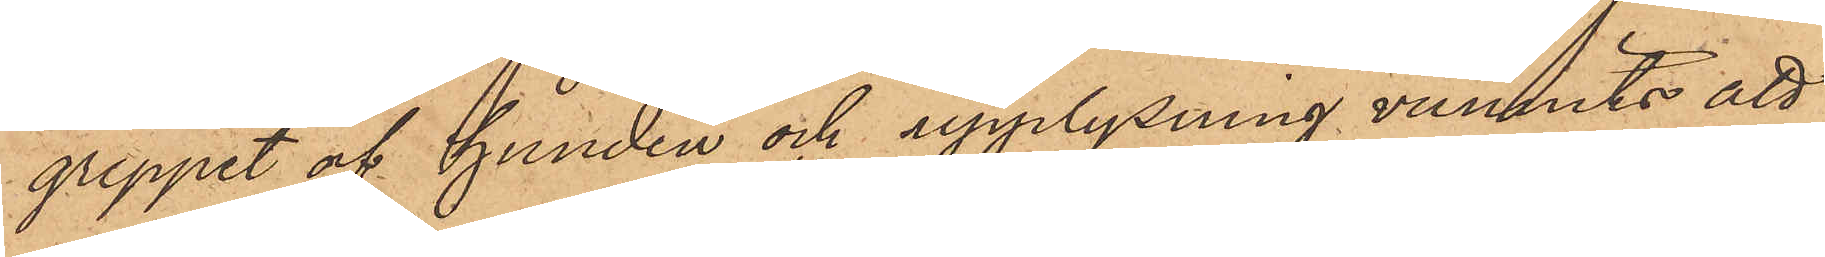greppet af hunden och upplysning vunnits att
